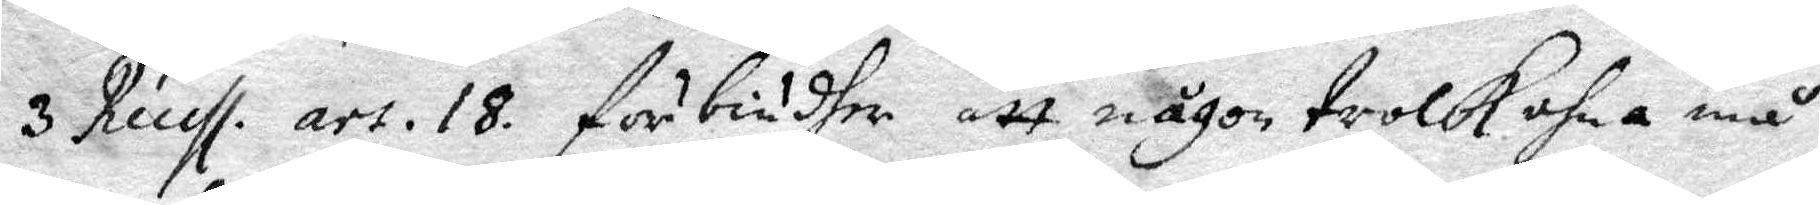3 Rensl. art. 18. förbiudhe att någon trolkohna må 
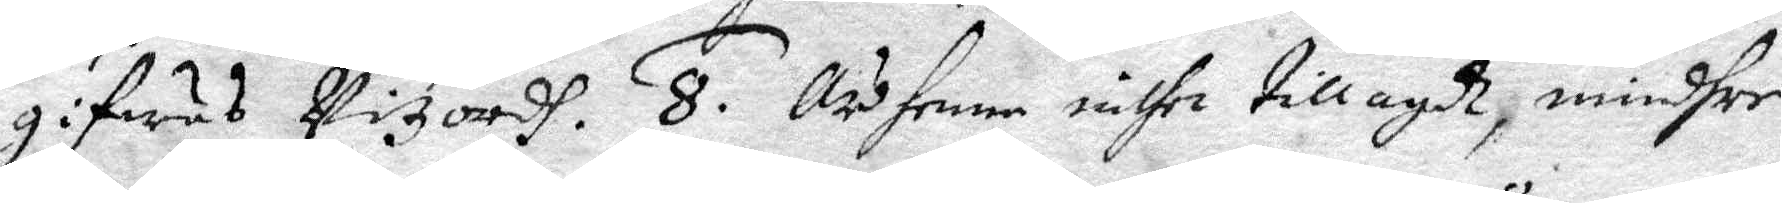gifwas Vitzordh. 8. Är henne inthet tillagdh, mindhre
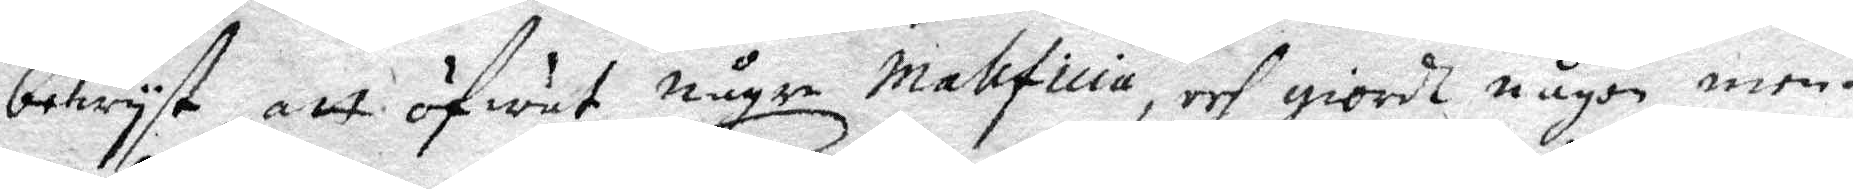bewyst, att öfwat någre malificia, och giorht någon men¬
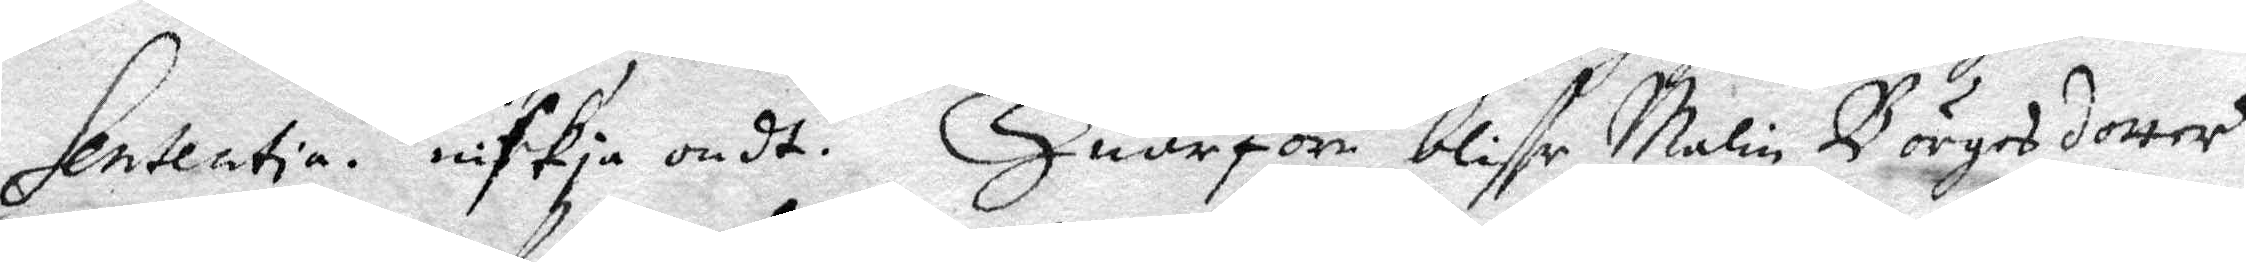Sententia. niskia ondt. Huarföre bliffr Malin Börgesdotter
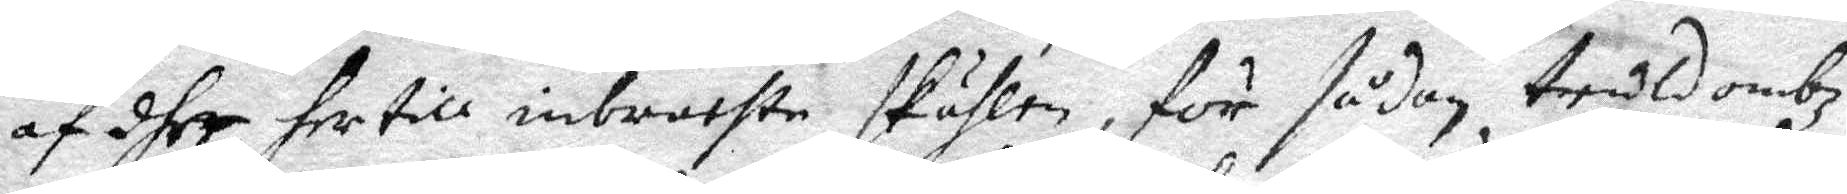af dher her till inbrachte skälhen för sådan troldombz
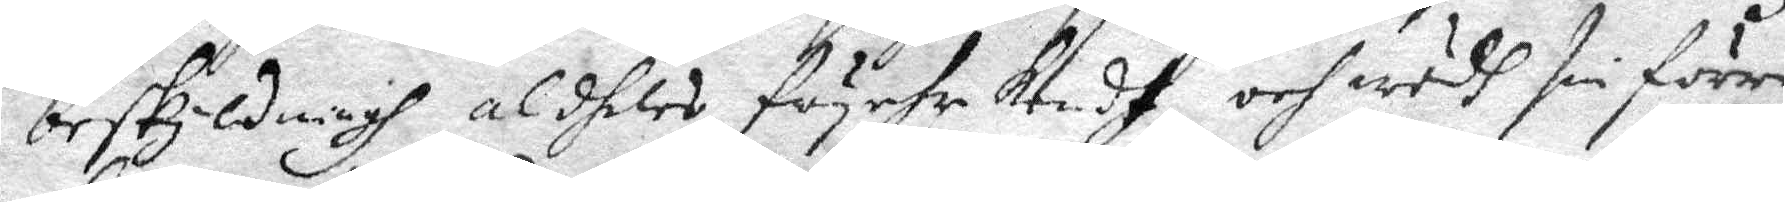beskyldningh aldheles fryehr kendt, och wedh sin förre
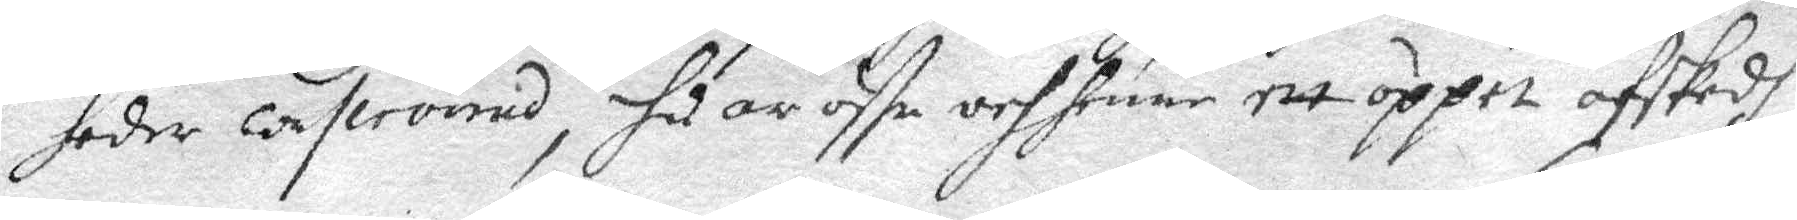heder conserverad, huar öffr och henne ett öppet afskedh
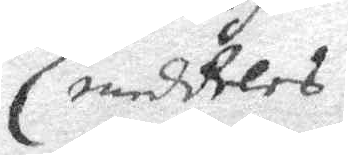meddeles.
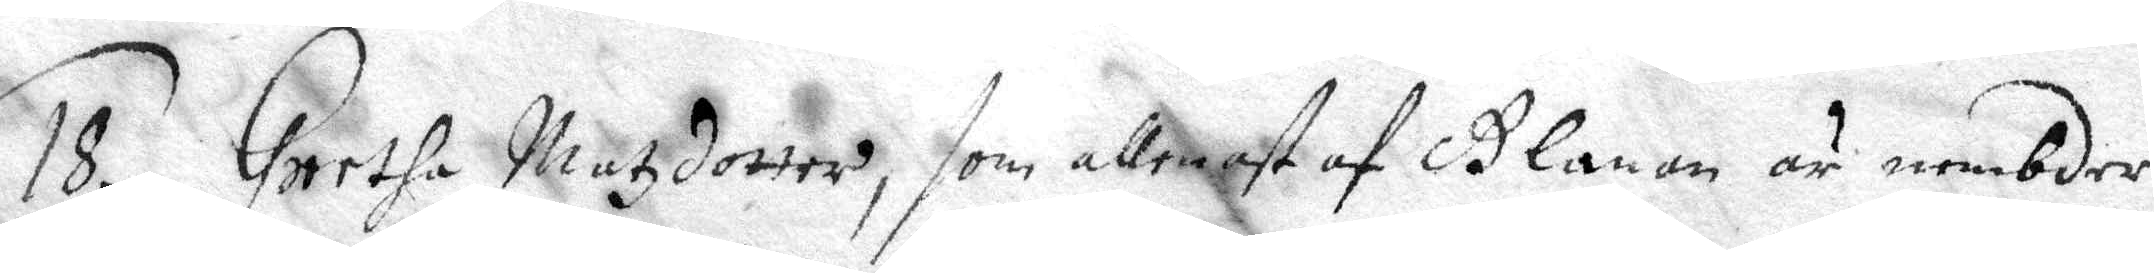18. Greetha Matzdotter, som allenast af Glanan är nembder
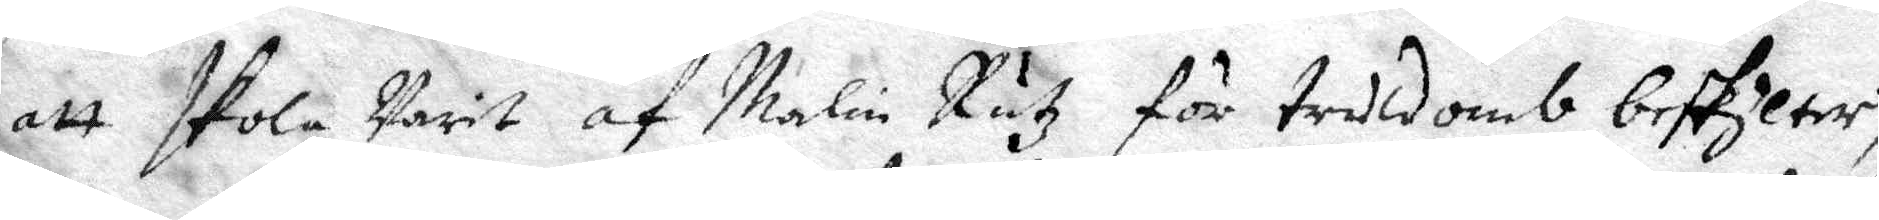att skola Warit af Malin Rutz för truldomb beskylter,
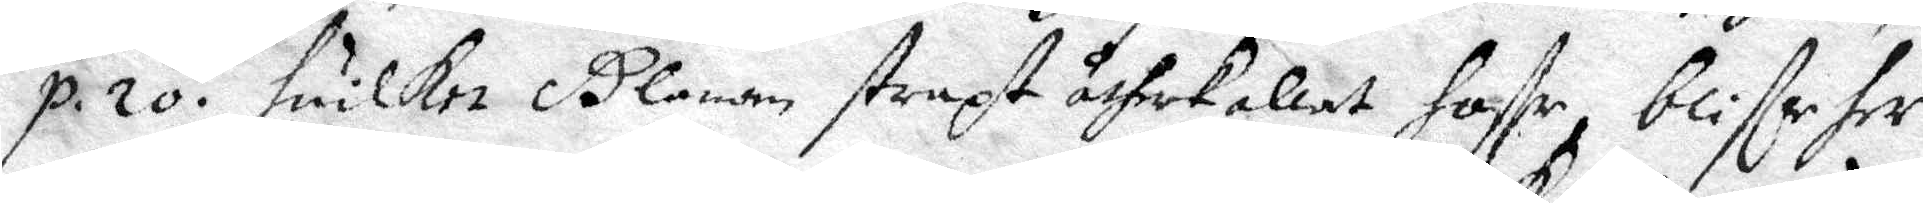p. 20. huilket Glanan straxt utherkallat haffr, blife her 
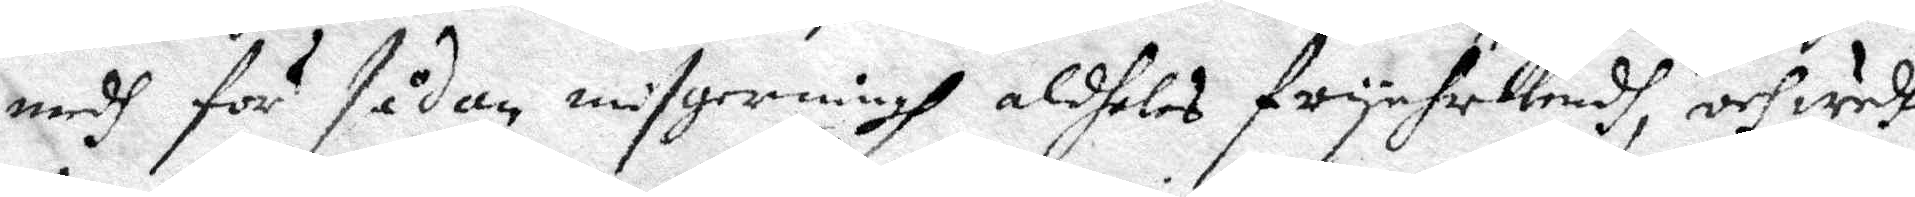medh för sådan misgerningh aldheles fryehrkendh och wedh
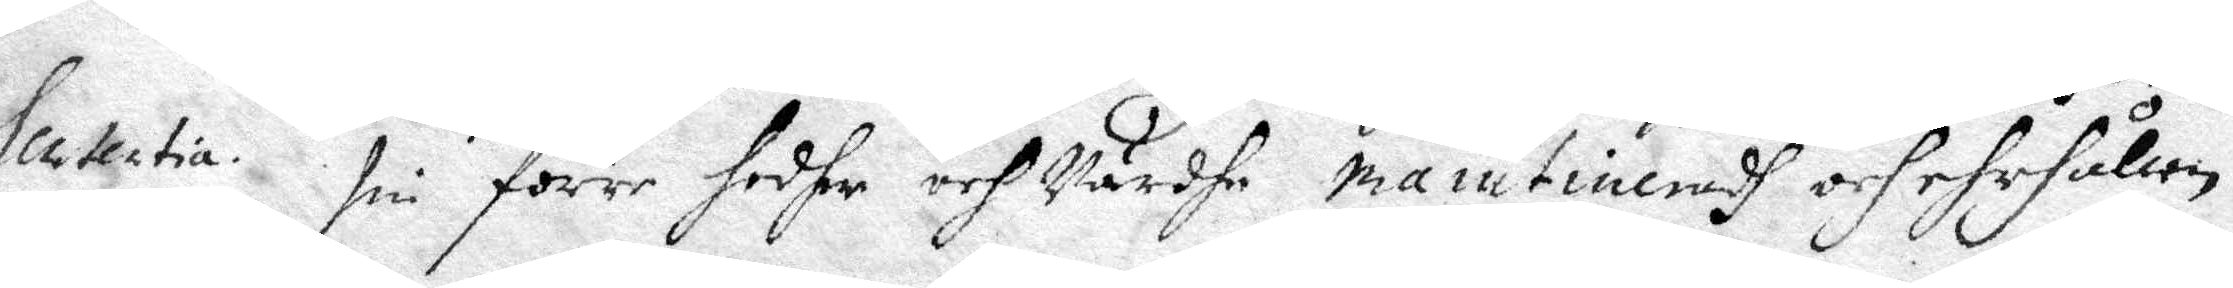sin förre hedher och Wärdhe maintiueradh och ehrhållen.
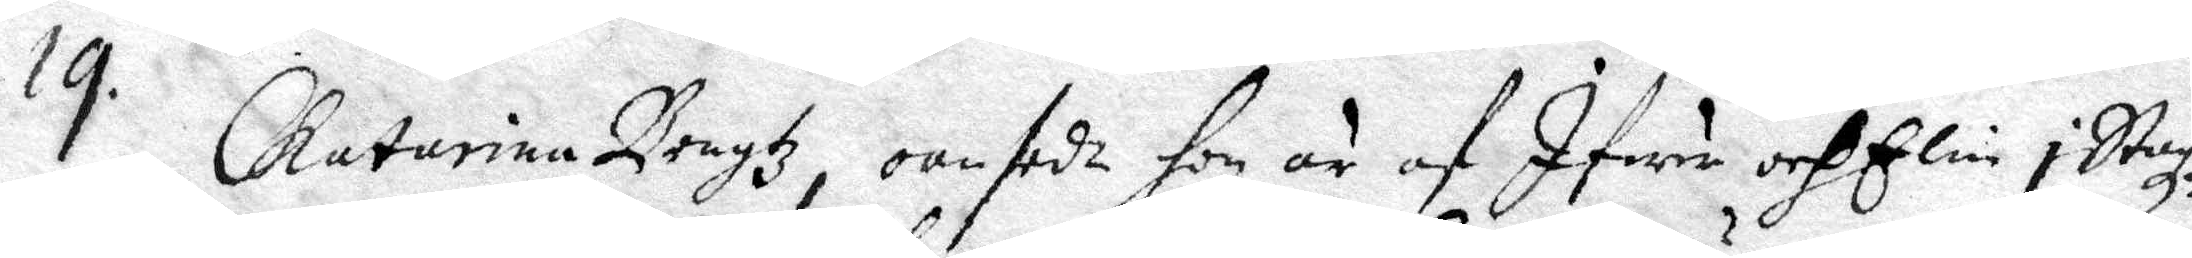14. Chatarina Bengtz oanseta hon är af Ifwar och Elin i Staz¬
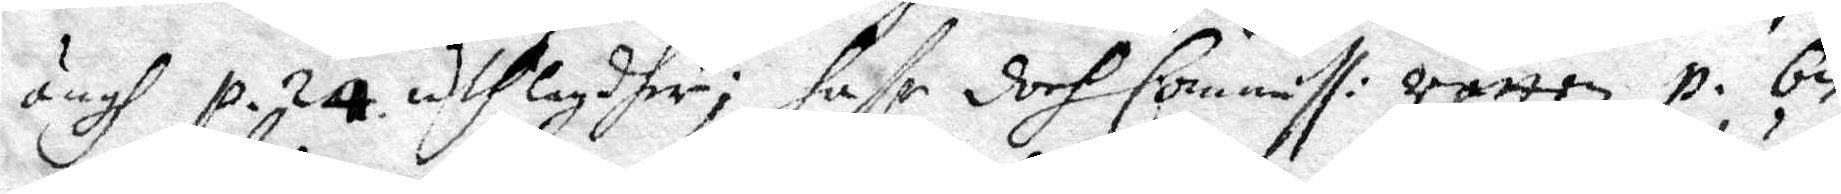ängh p. 24. uthlagdher; haffr doch Commiss: rätten p. be¬ 
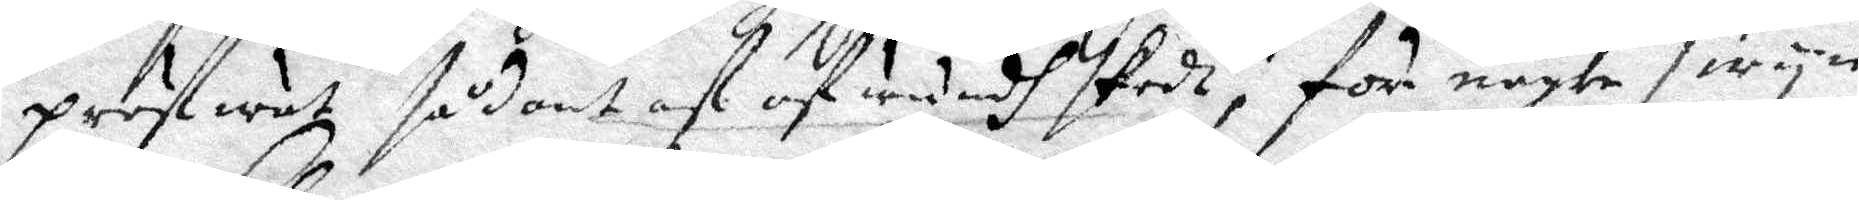pröftwat sådant af af wundh skedt, för någre swyn
